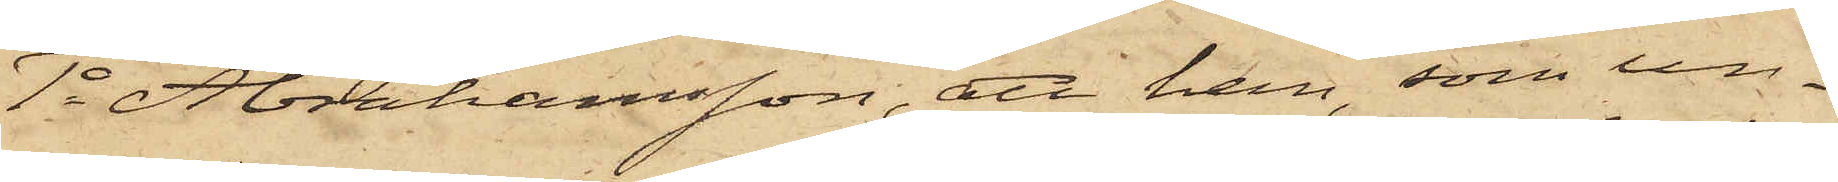1o Abrahamsson, att han som un¬
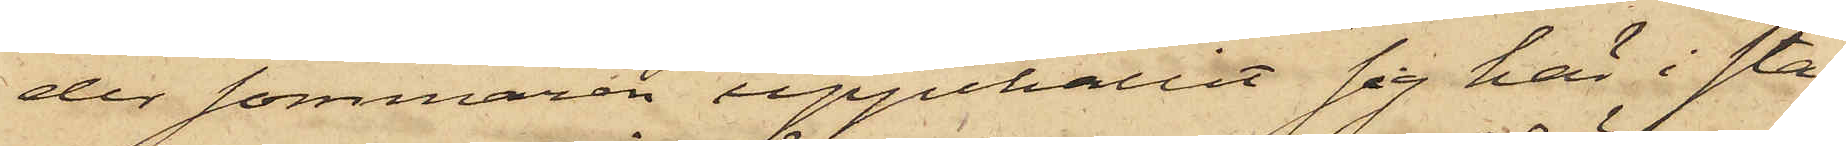der sommaren uppehållit sig här i sta¬
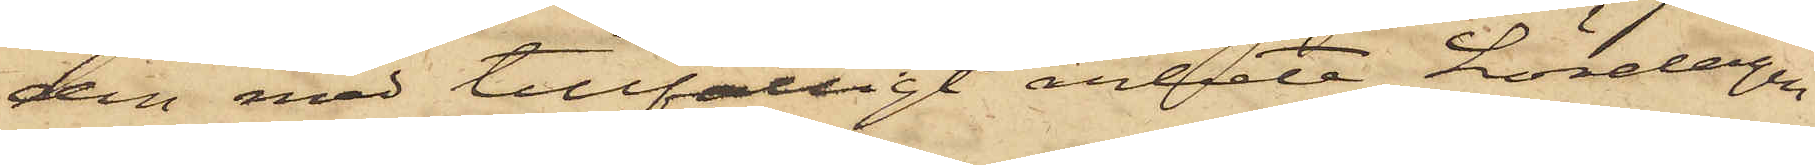den med tillfälligt arbete, Lördagen
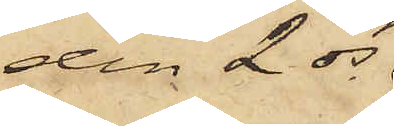den 2 ds
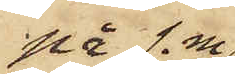på f.m.
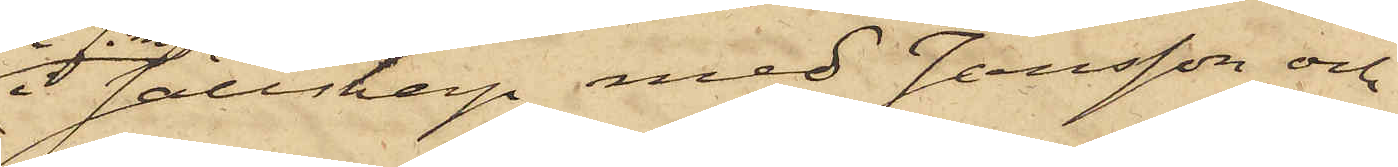i sällskap med Jansson och
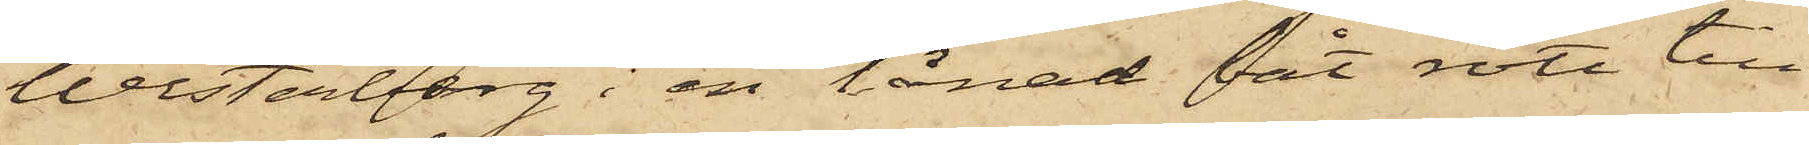Westerberg i en lånad båt rott till
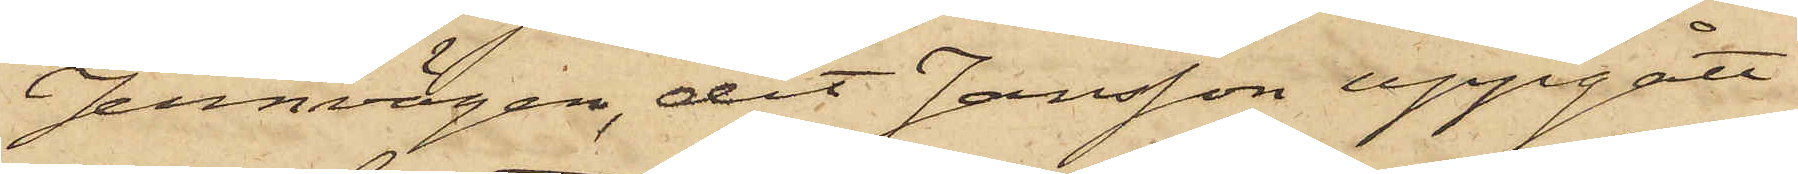Jernvågen, dit Jansson uppgått
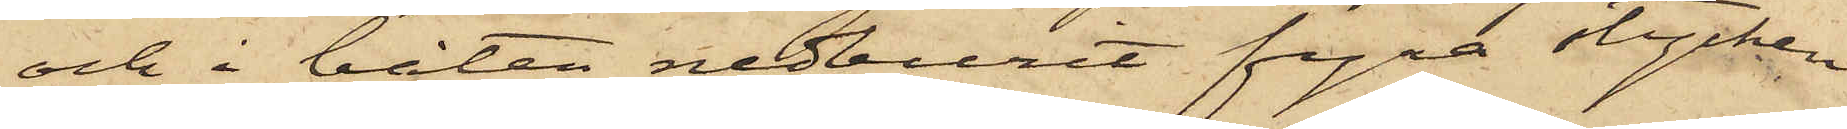och i båten nedburit fyra stycken
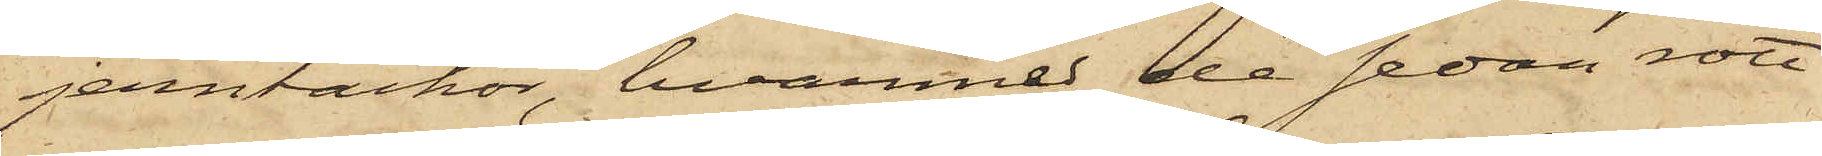jerntackor, hvarmed de sedan rott
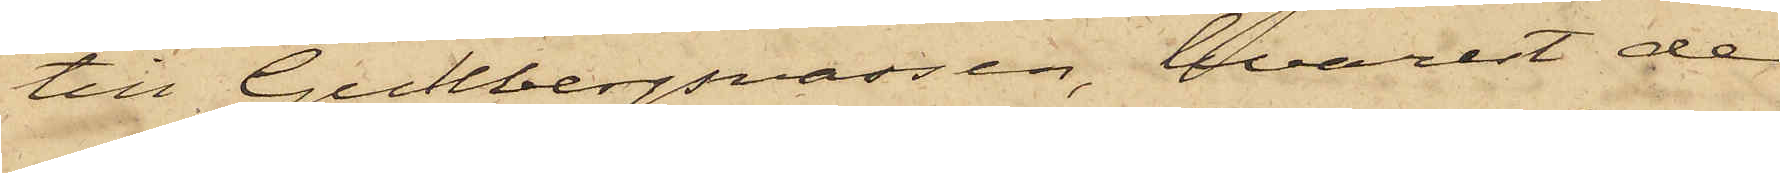till Gullbergsvassen, hvarest de
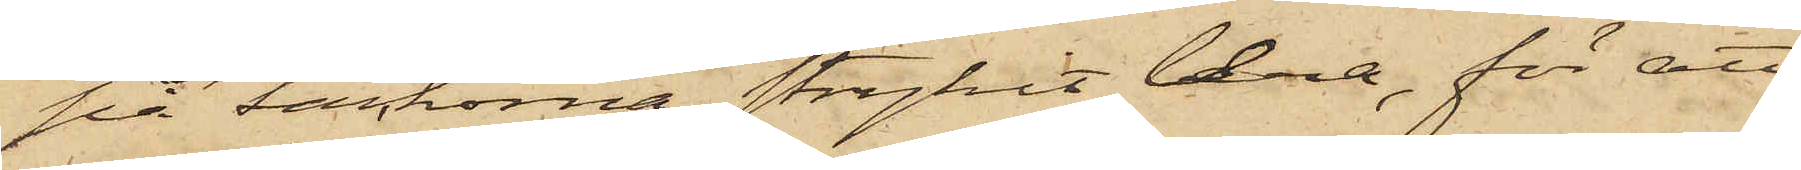på tackorna strykit lera, för att
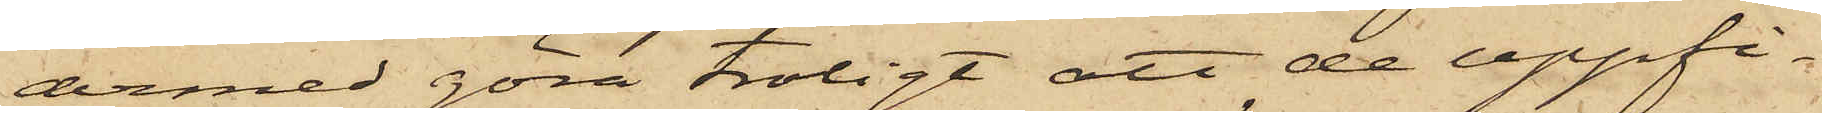dermed göra troligt att de uppfi¬
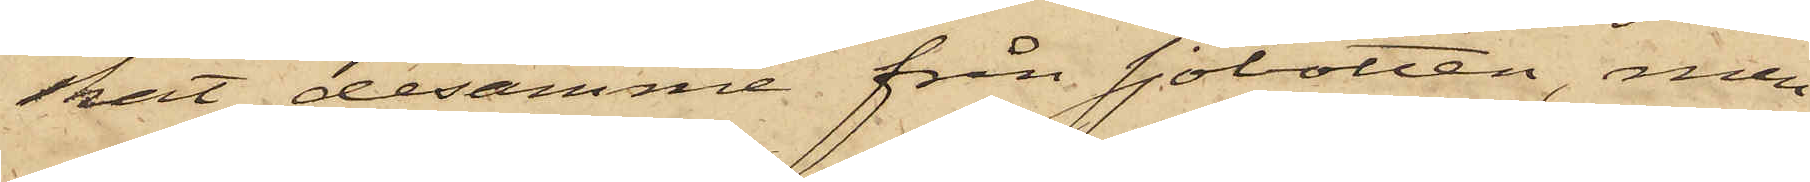skat desamme från sjöbotten, men
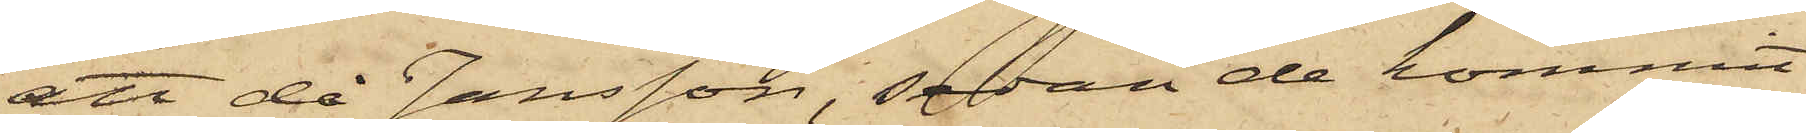att då Jansson, sedan de kommit
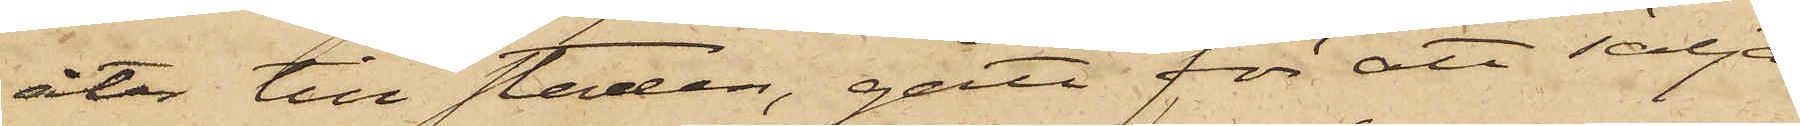åter till staden, gått för att sälja
